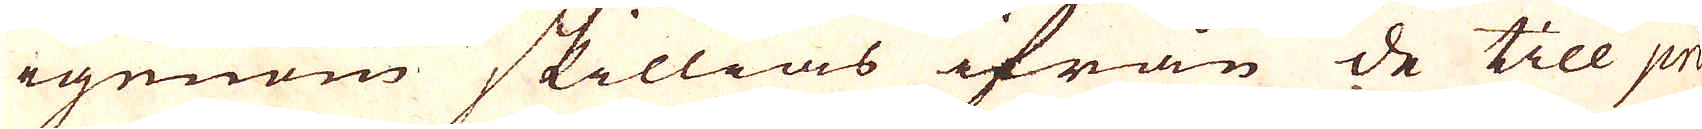igenom skillias ifrån de till pri-
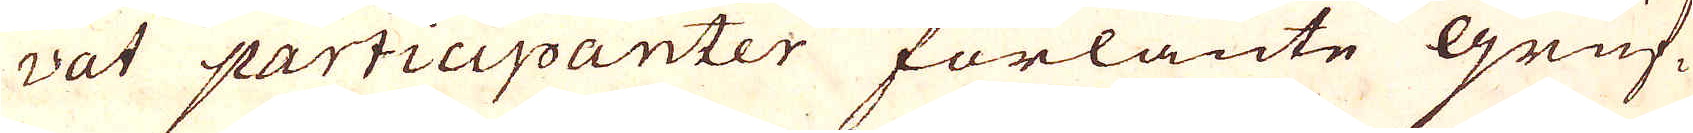vat participanter förlänte gruf-
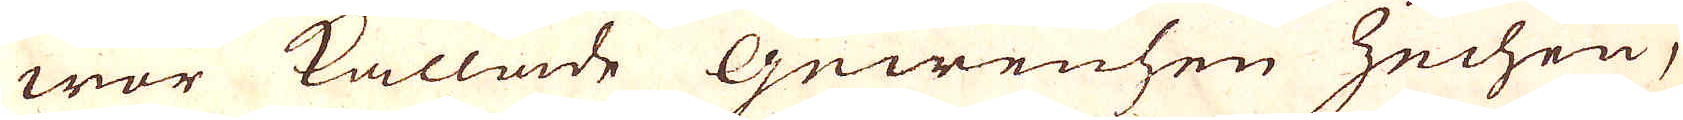wor kallade Guwenhen Zechen,
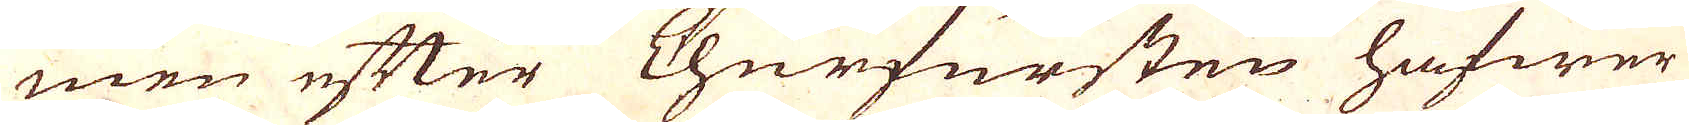men efter Churfursten hafwer
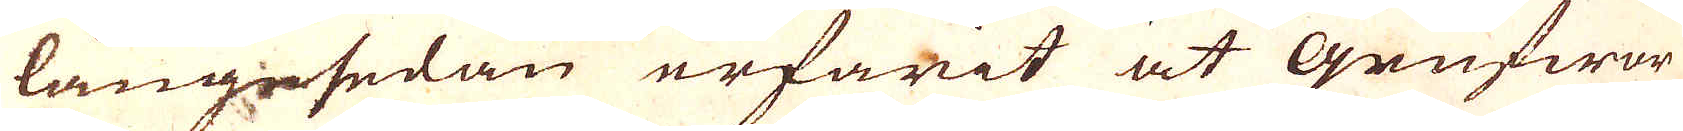längesedan erfarit at Grufwor
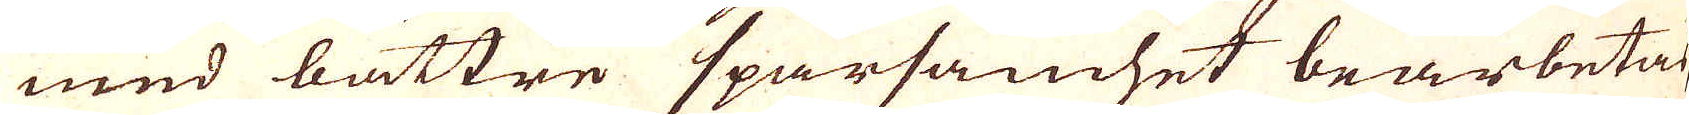med bättre sparsamhet bearbetas,
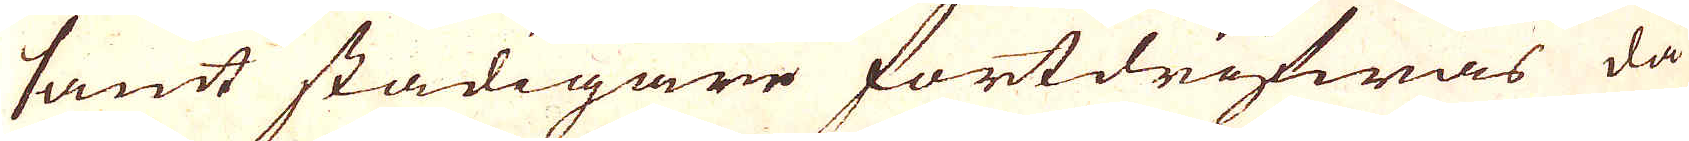samt stadigare fortdrifwas då
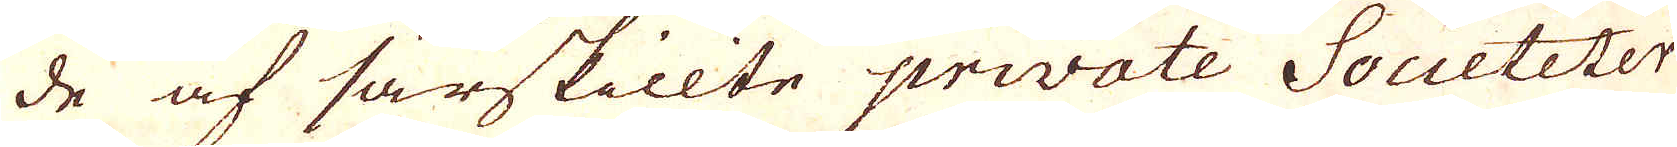de af särskillte private Societeter
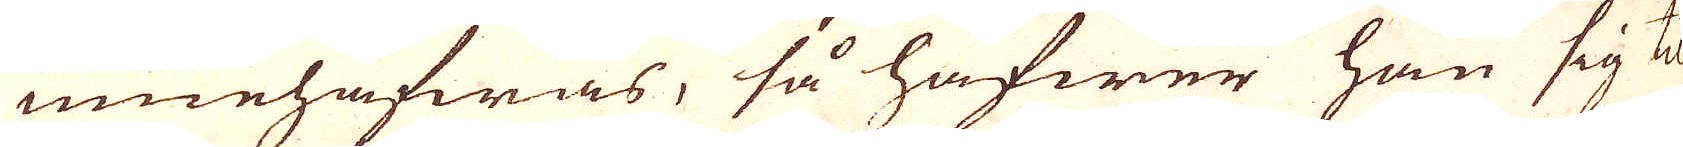innehafwas, så hafwer han sig til
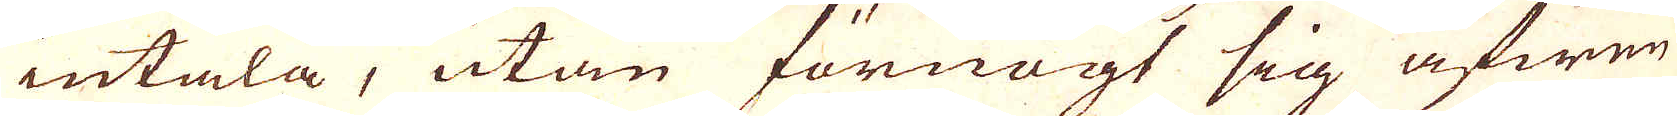intala, utan förnögt sig äfwen
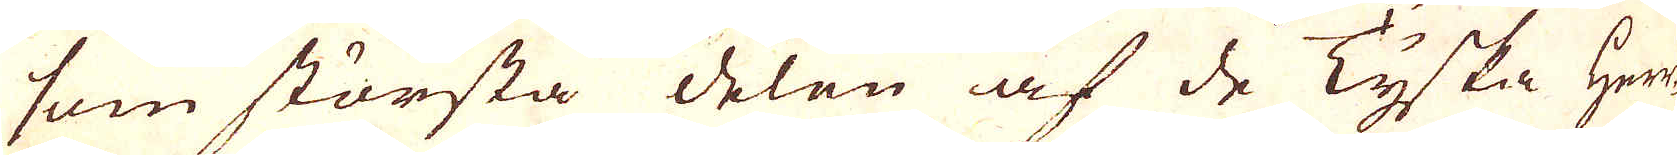som största delen af de Tyska Herr-
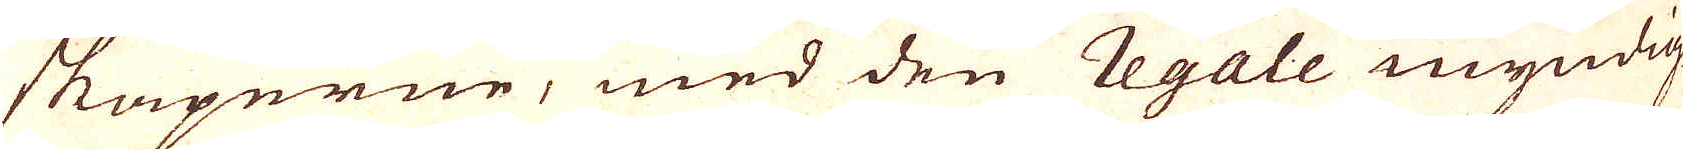skaperne, med den regale myndig-
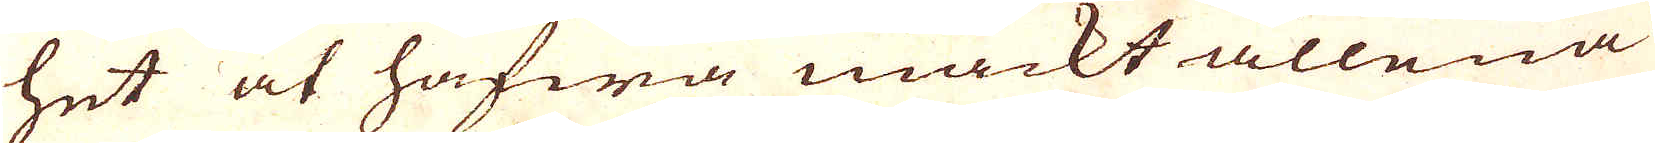het at hafwa mackt allena
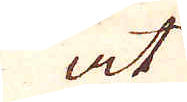at
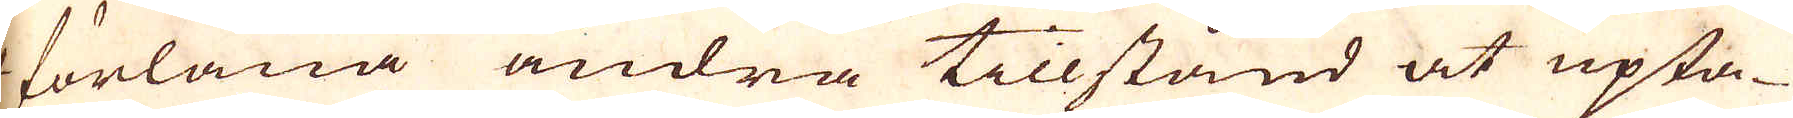at förläna andra tillstånd at upta-
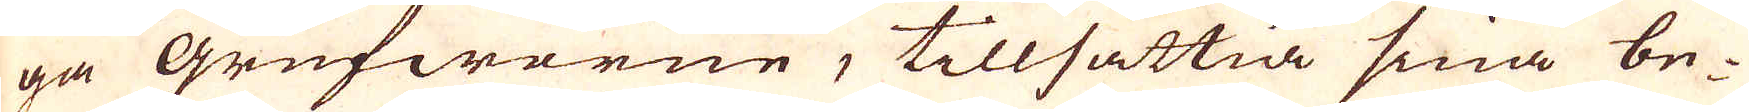ga Grufworne, tillsättia sina be-
